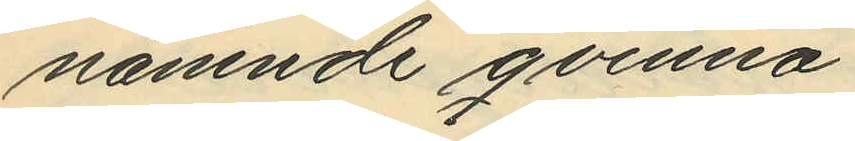nämnde qvinna.
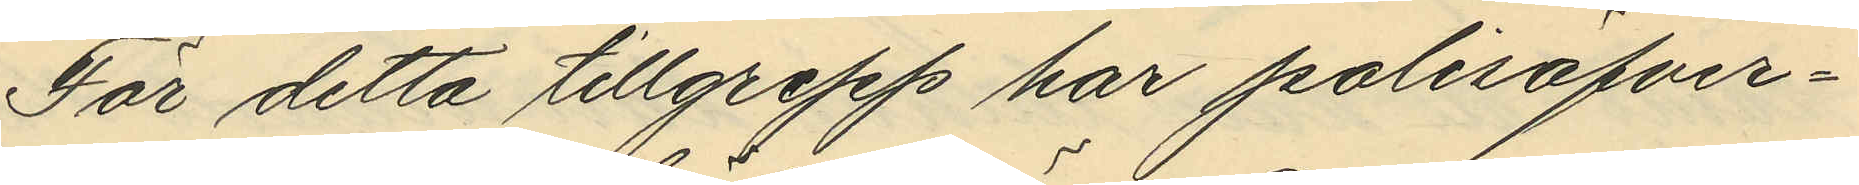För detta tillgrepp har polisöfver¬
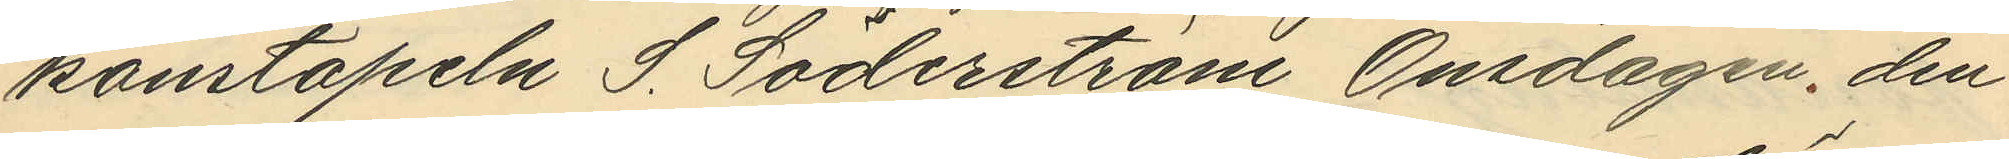konstapeln S. Söderström Onsdagen, den
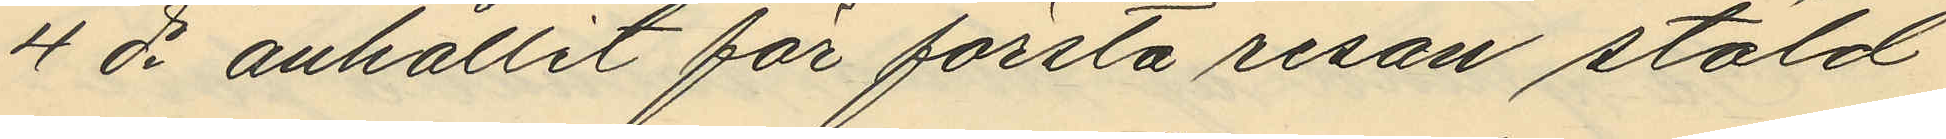4 ds anhållit för första resan stöld
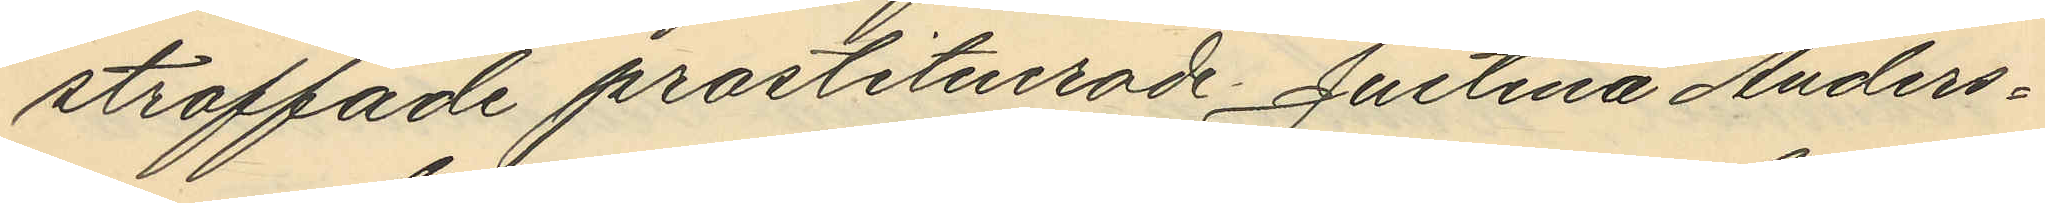straffade prostituerade Justina Anders¬
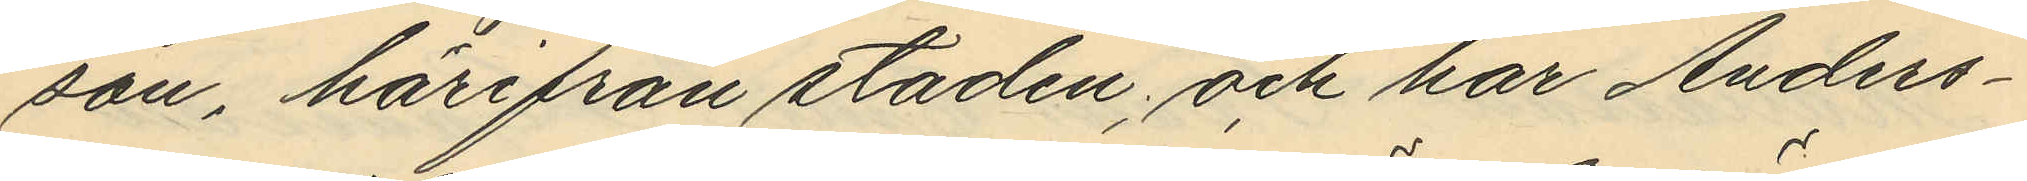son, härifrån staden, och har Anders¬
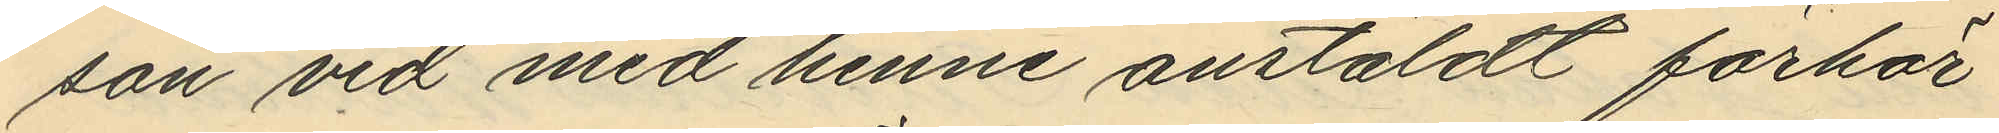son vid med henne anstäldt förhör
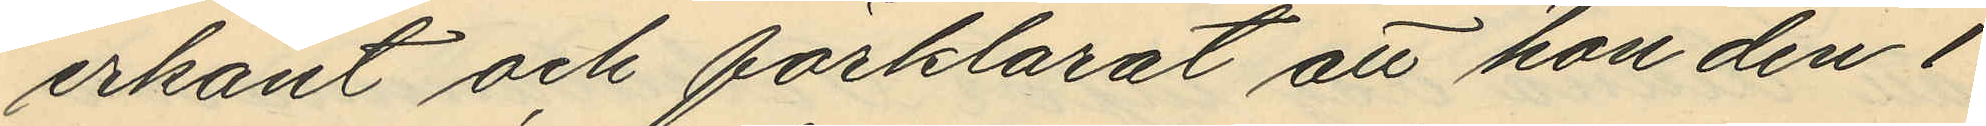erkänt och förklarat att hon den 1
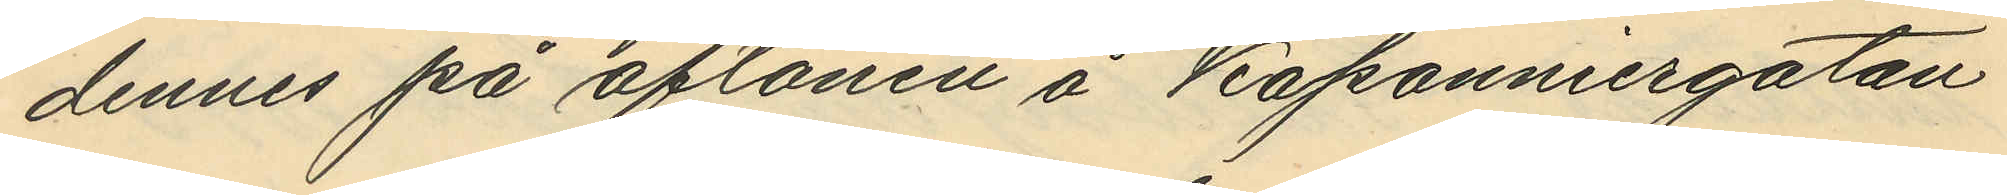dennes på aftonen å Kaponniergatan
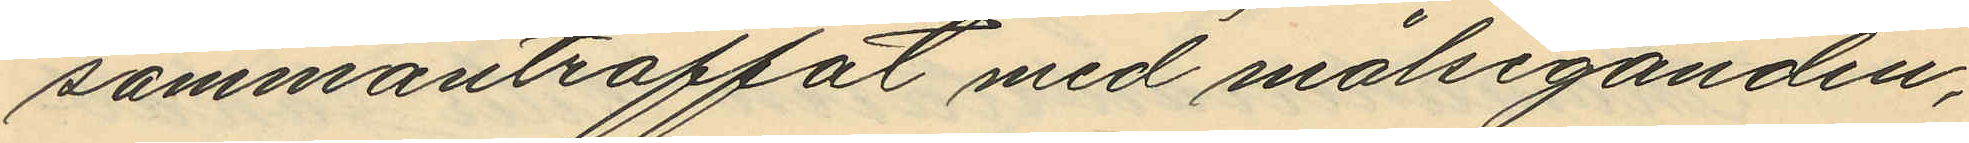sammanträffat med målseganden,
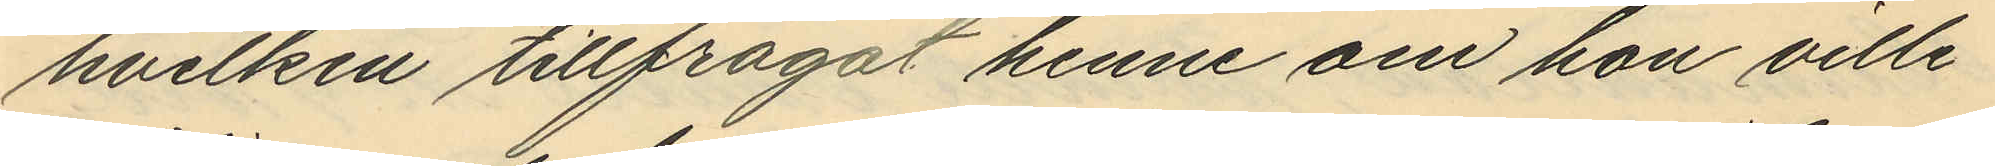hvilken tillfrågat henne om hon ville
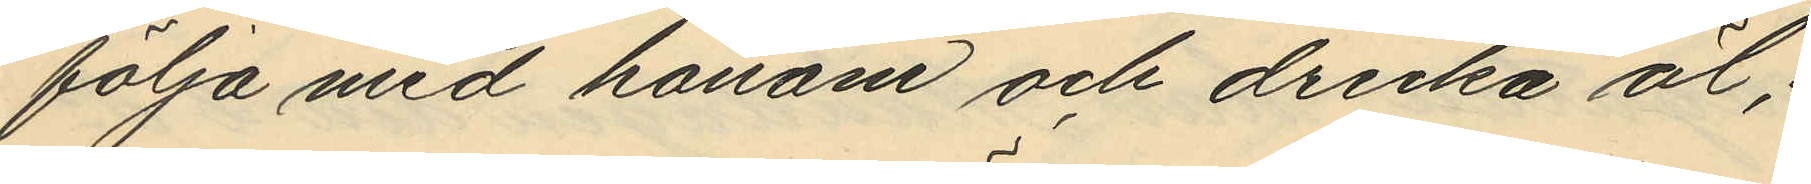följa med honom och dricka öl;
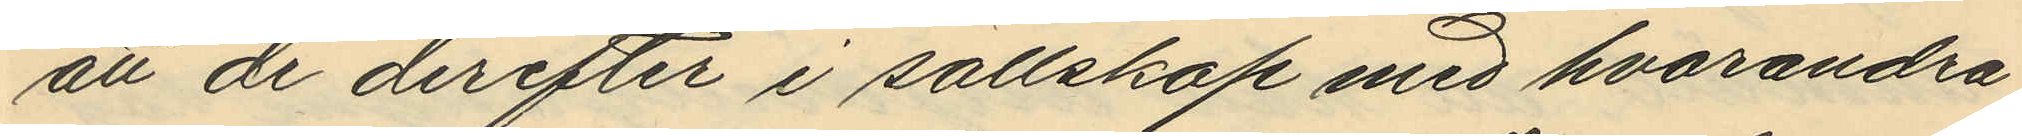att de derefter i sällskap med hvarandra
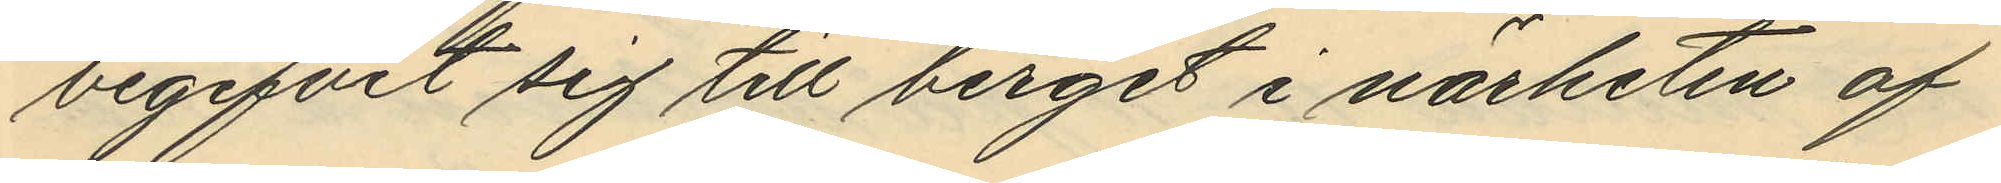begifvit sig till berget i närheten af
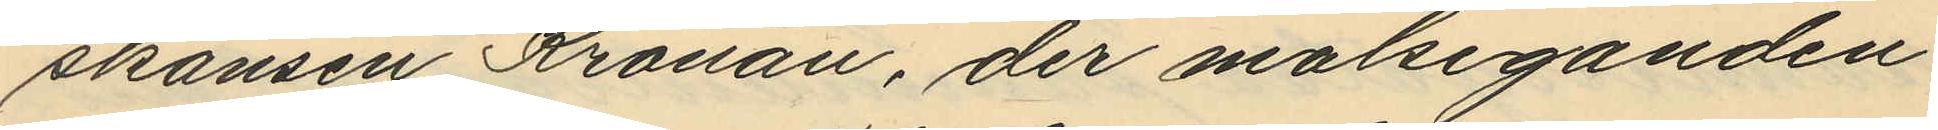skansen Kronan, der målseganden
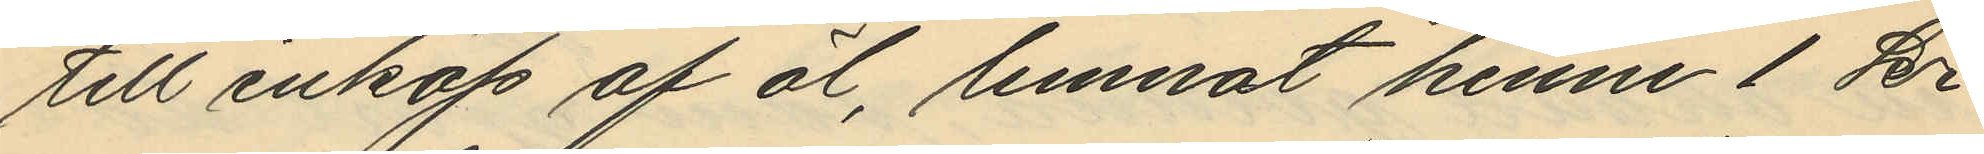till inköp af öl, lemnat henne 1 kr
